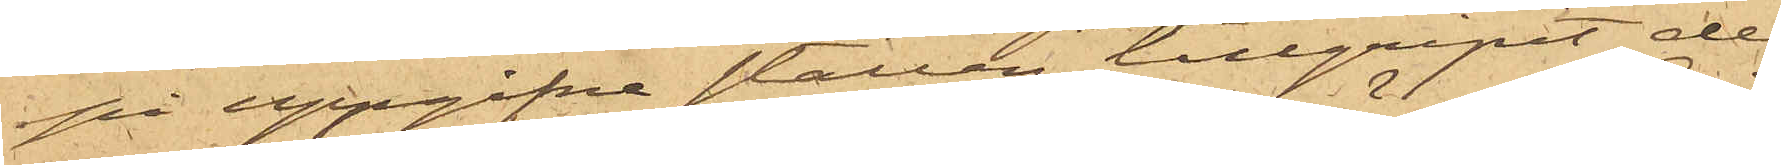på uppgifne ställen tillgripit de
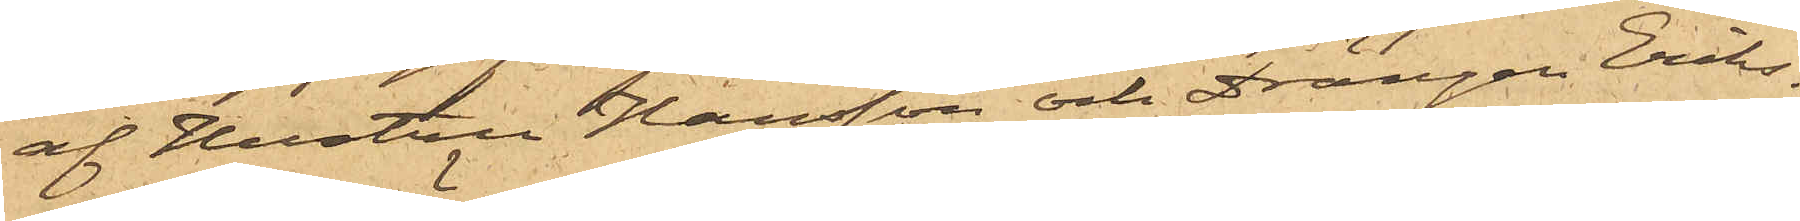af Hustrun Hansson och Drängen Eriks¬
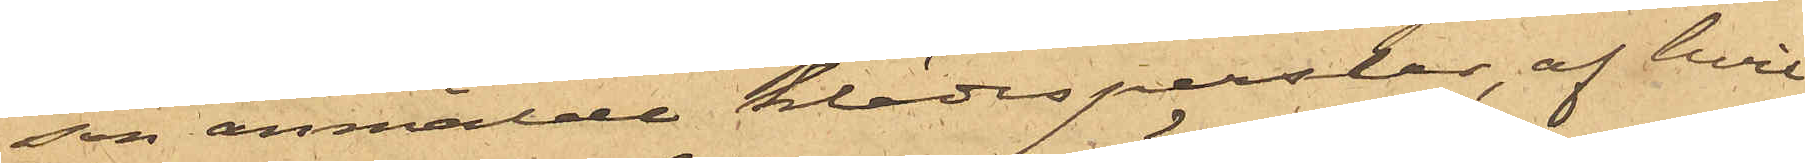son anmälde klädesperslar, af hvil¬
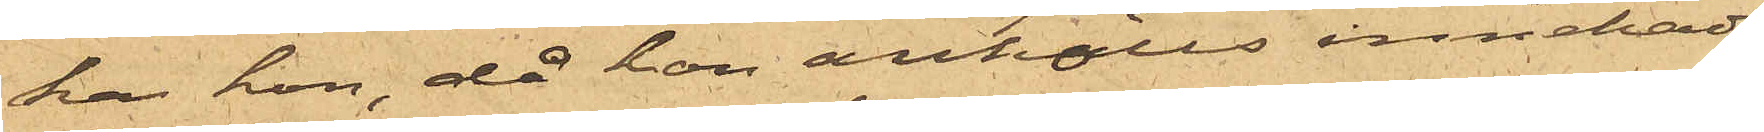ka hon, då hon anhölls innehade
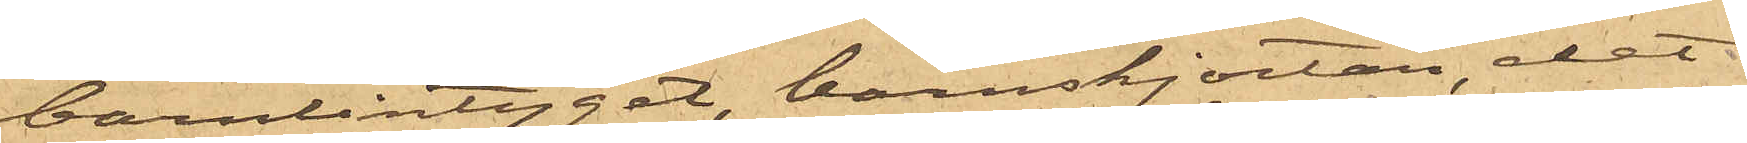barnlintyget, barnskjortan, det
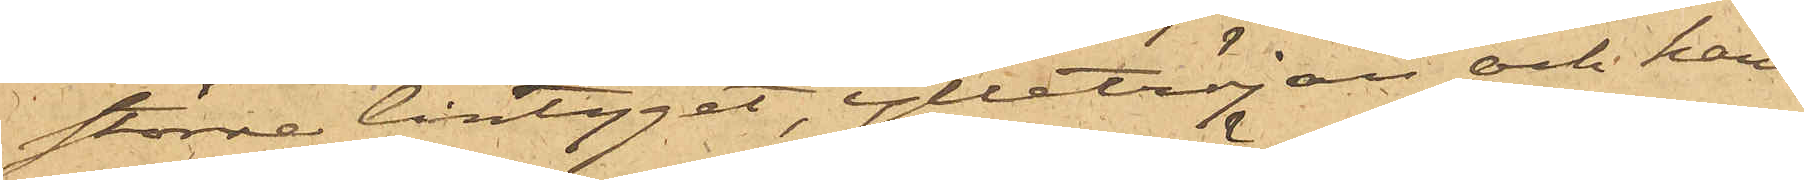större lintyget, ylletröjan och hand¬
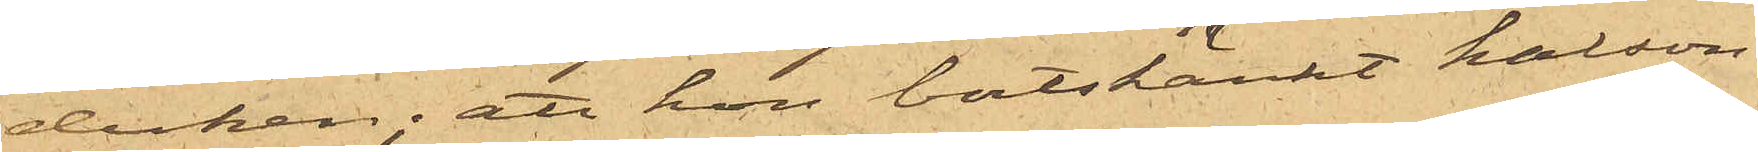duken; att hon bortskänkt kalson¬
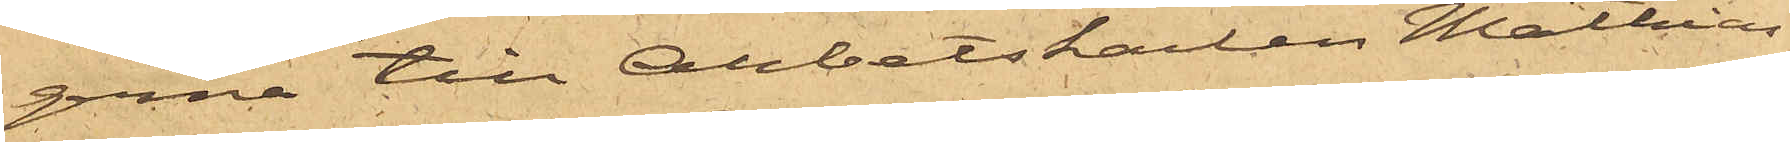gerna till Arbetskarlen Mathias
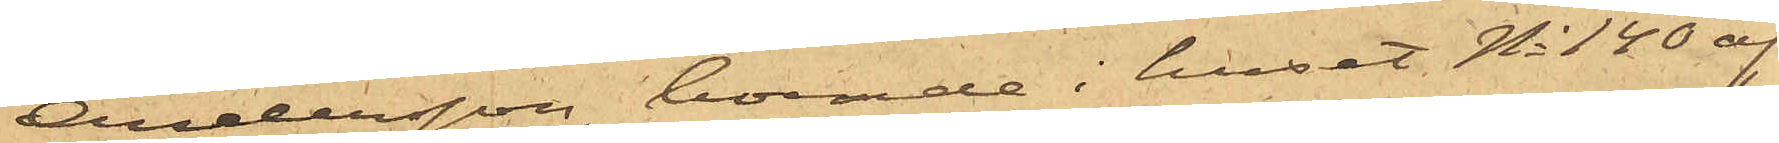Andersson, boende i huset No 140 af
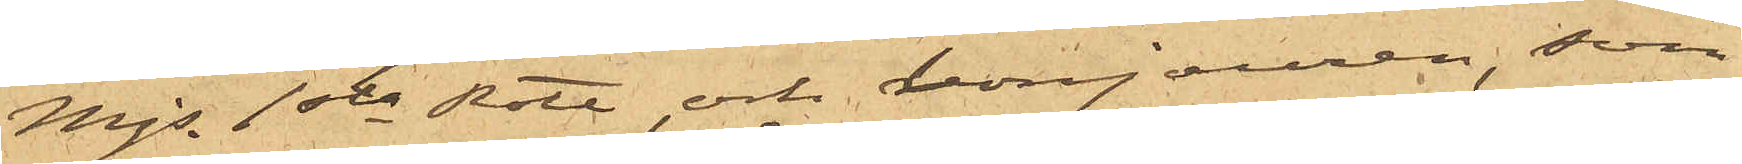Majs 1sta Rote och bonjouren, som
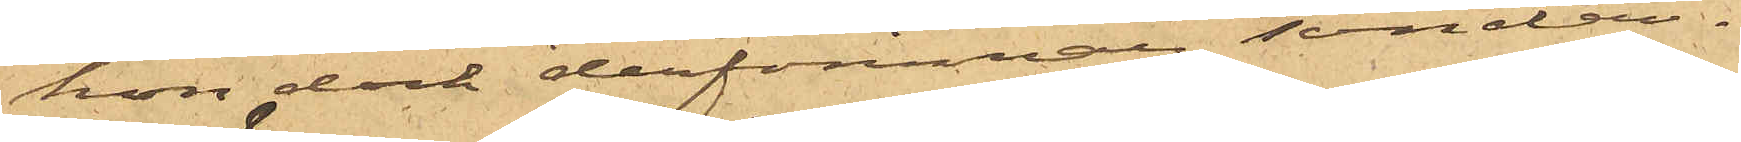hon dock derförinnan sönder¬
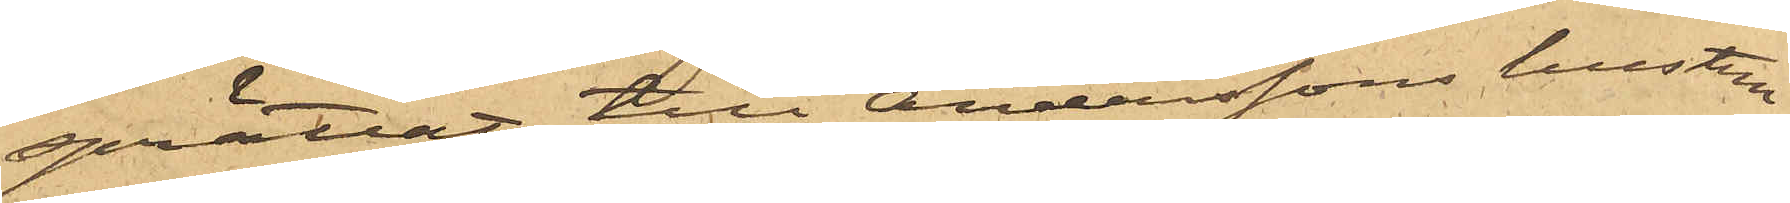sprättat, till Anderssons hustru
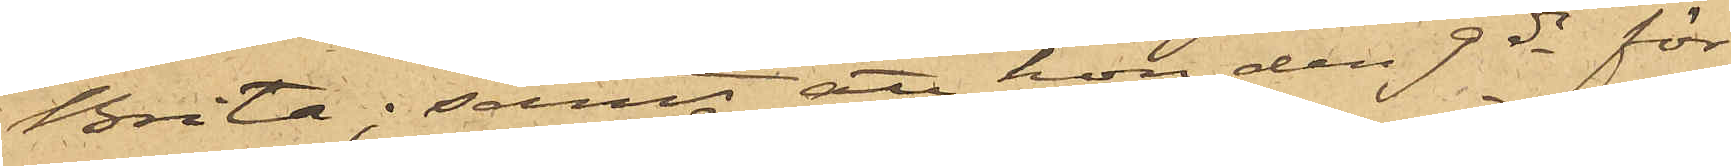Brita; samt att hon den 9 ds för
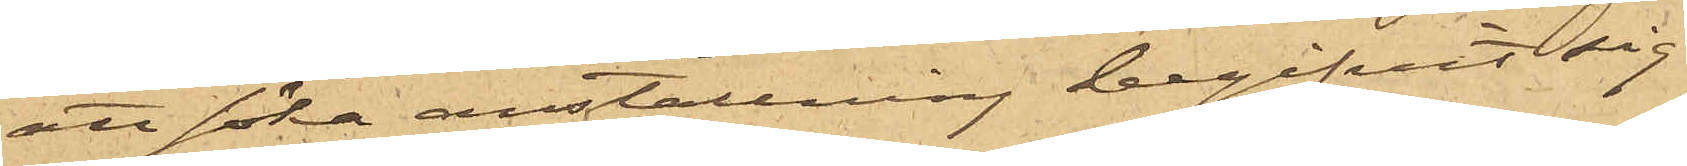att söka anställning begifvit sig
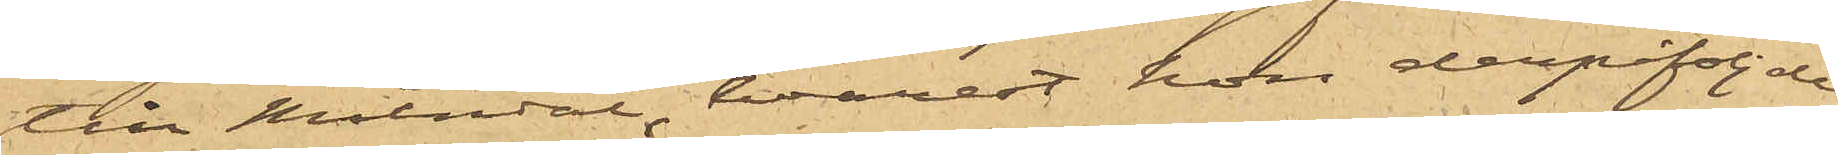till Mölndal, hvarest hon derpåföljde
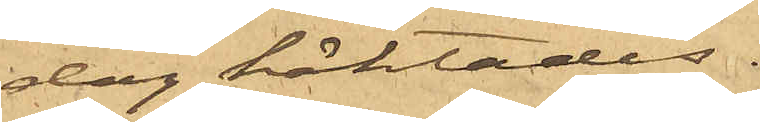dag häktades.
